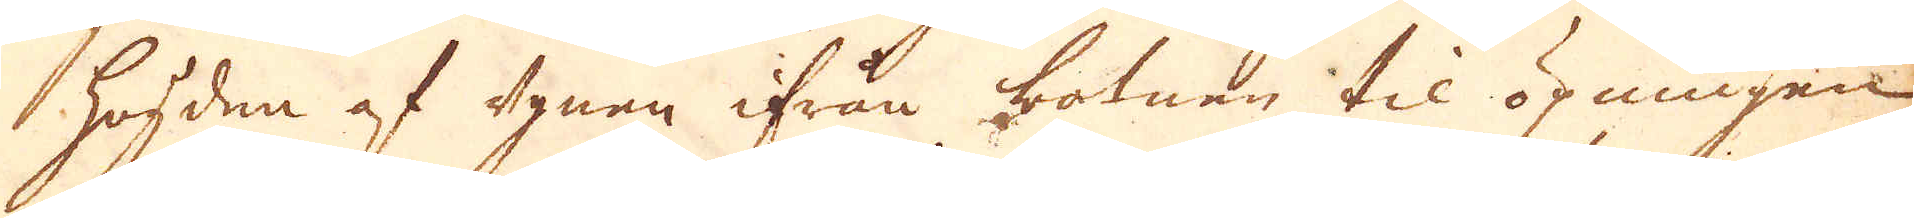högden af ugnen ifrån botnen til öpningen
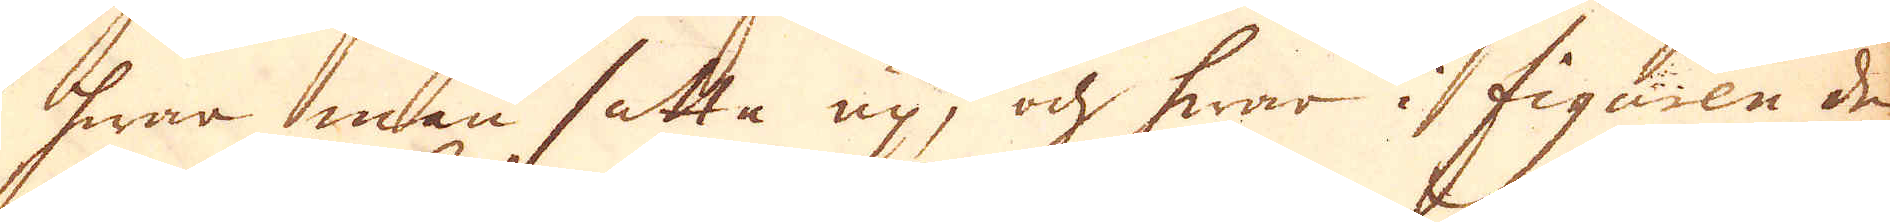hwar man satte up, och hwar i figuren den
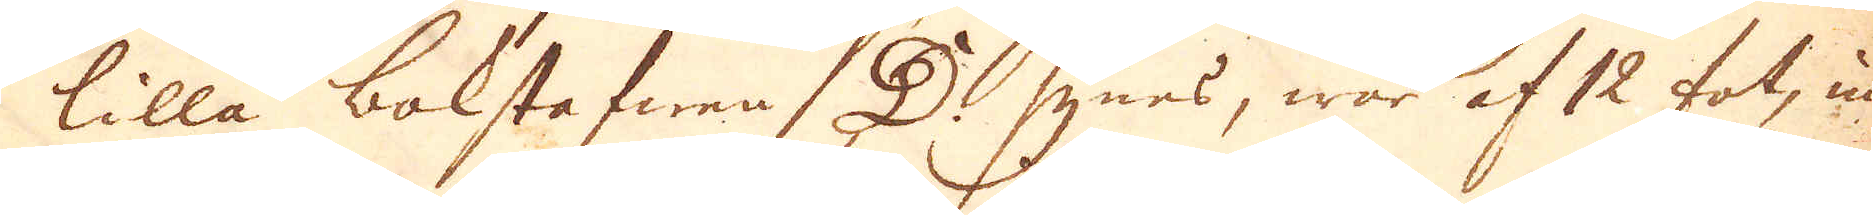lilla bokstafwen D synes, war af 12 fot, in-
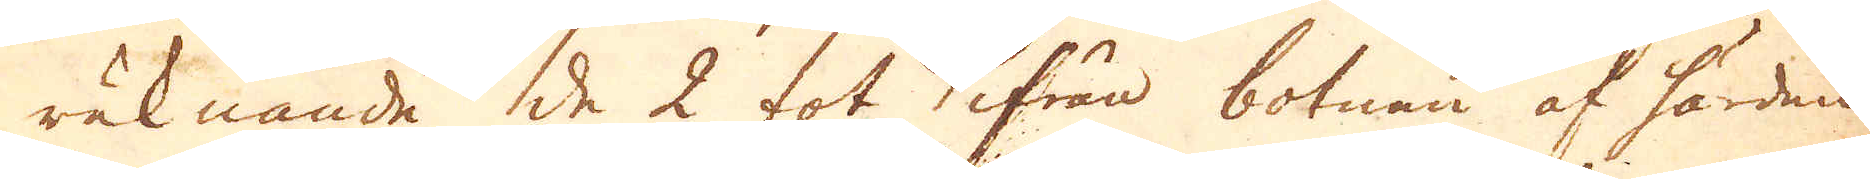räknande de 2 fot ifrån botnen af härden
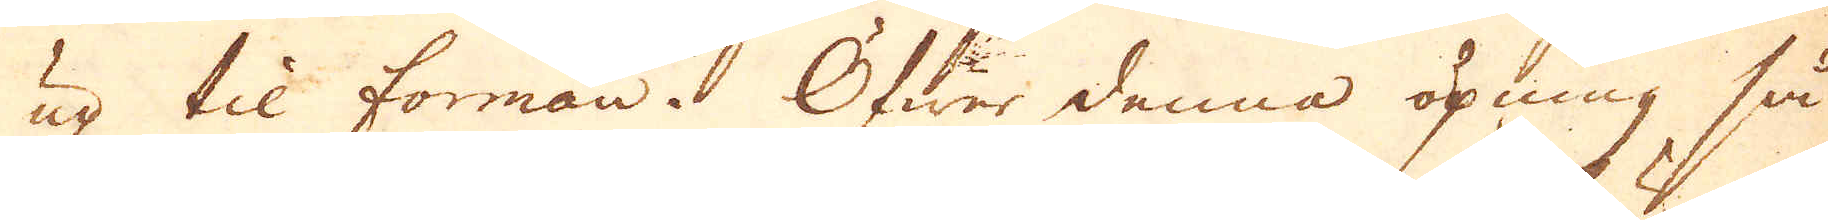up til forman. Öfwer denna öpning så
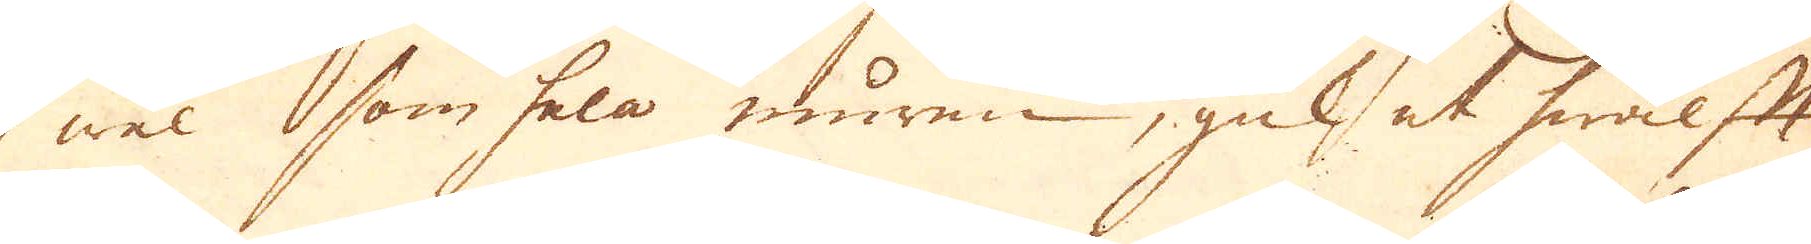wäl som hela muren, gick, et hwälft
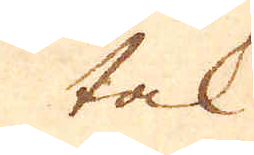tak
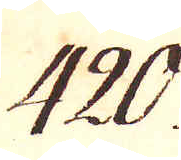420.
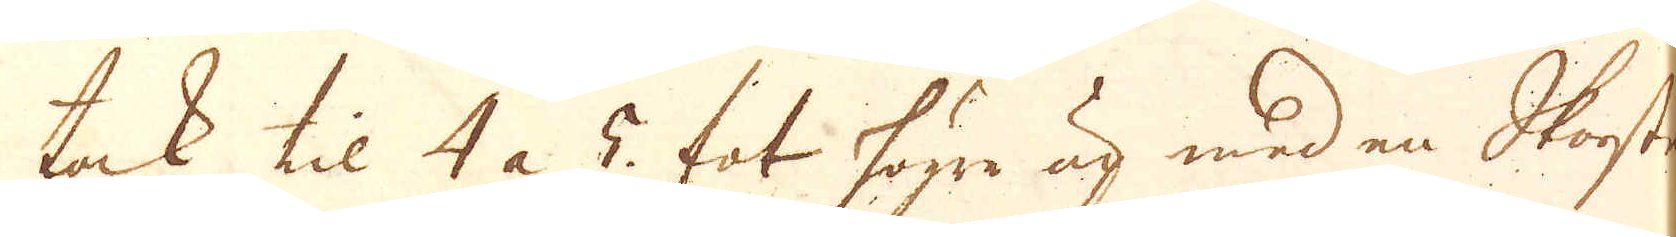tak til 4 a 5. fot högre up med en Skorsten
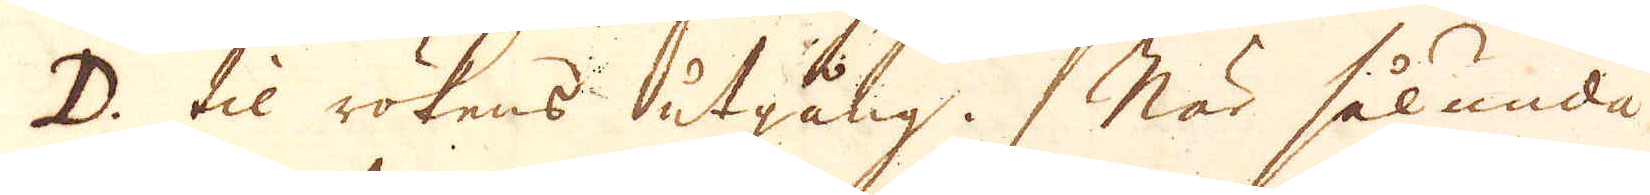D. til rökens utgång. När sålunda
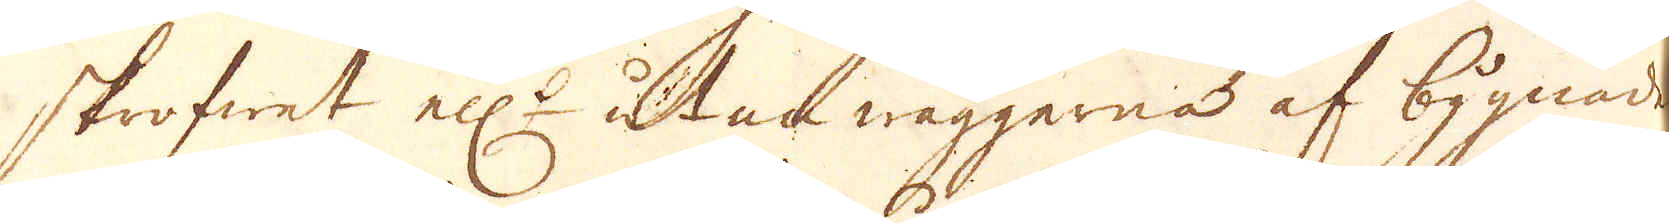skrofwet ell:r utan wäggerna af bygnaden
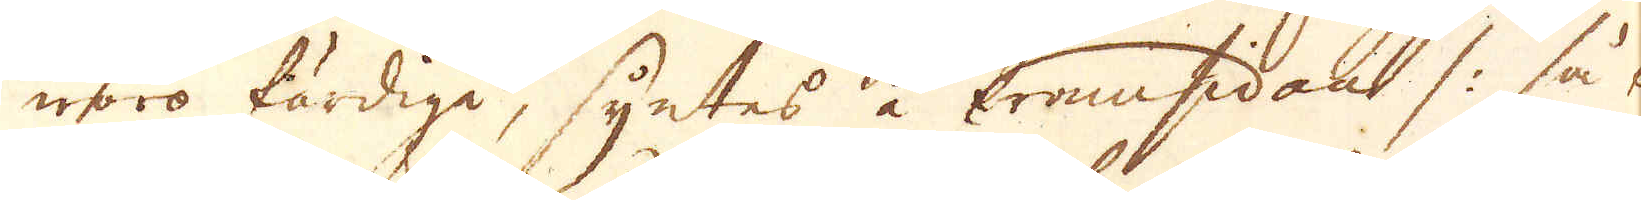woro färdige, syntes å framsidan /: så kal-
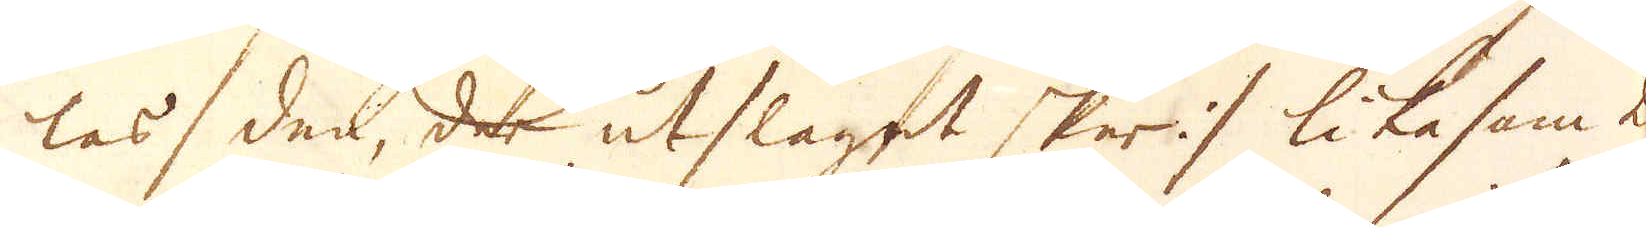las den, der utslaget sker :/ likasom 2:ne
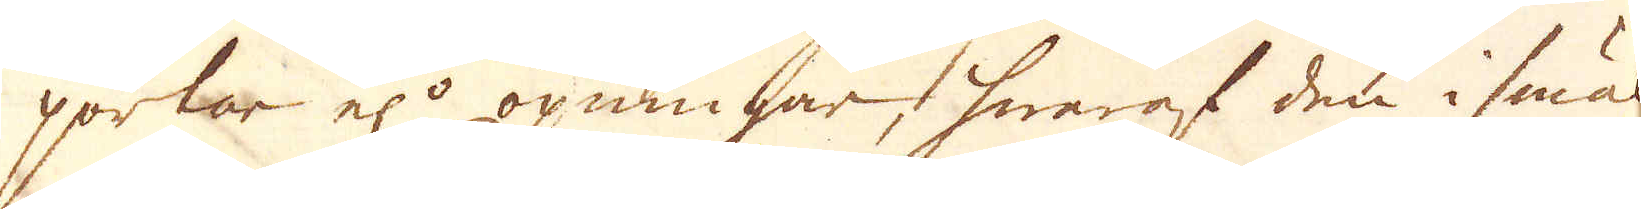portar el:r öpningar, hwaraf den i smält-
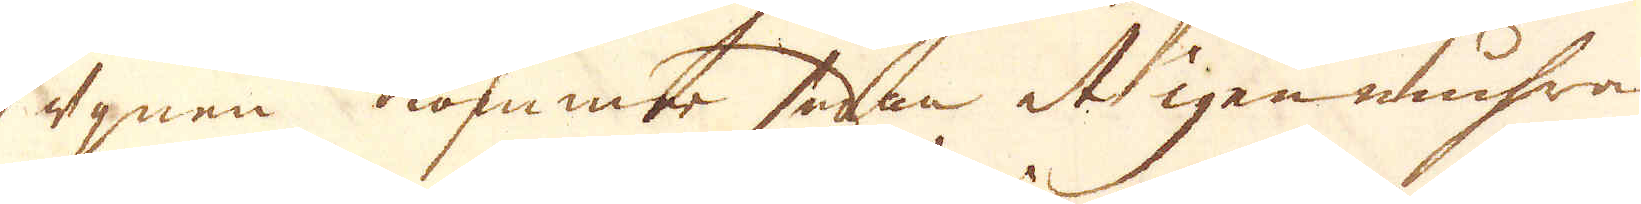ugnen kommer sedan at igenmuhras
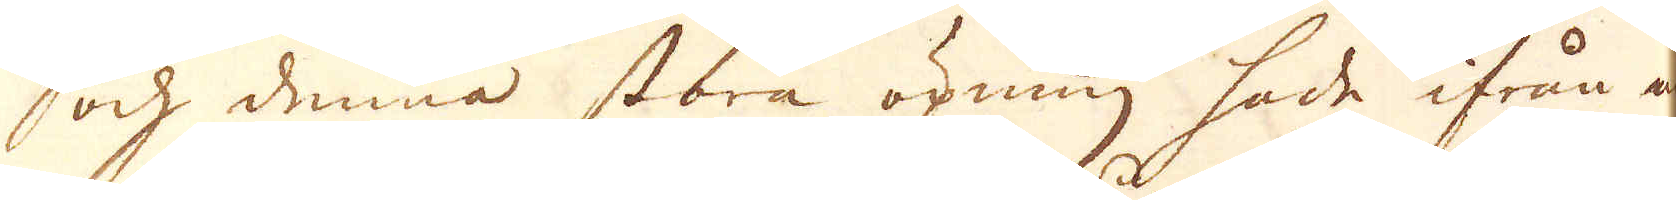och denna stora öpning hade ifrån a
